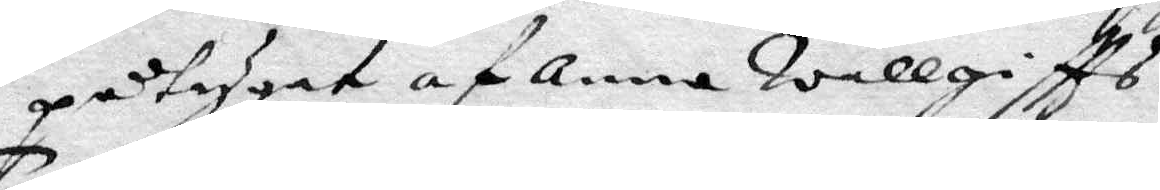påtygat af Anna wällgiftts.
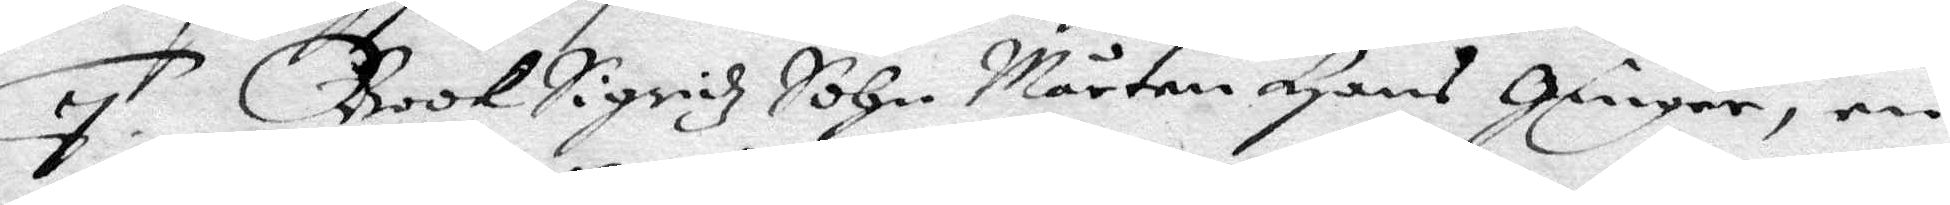7. BookSigridz Sohn Mårten Hans Ginger, en
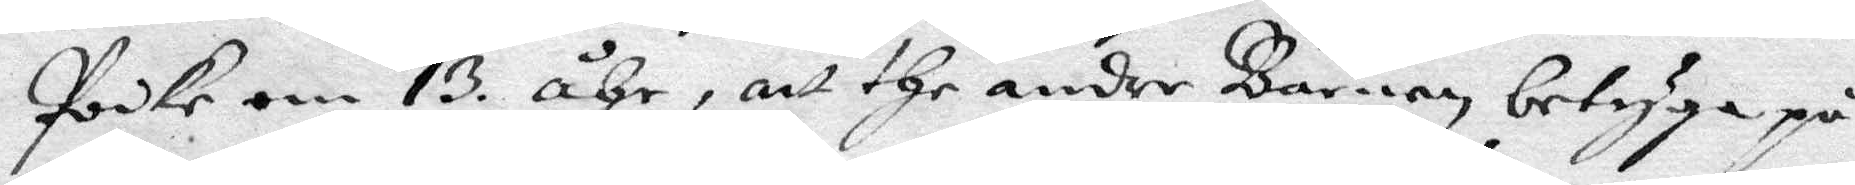poike om 13. åhr, att the andre Barnen, betyga på
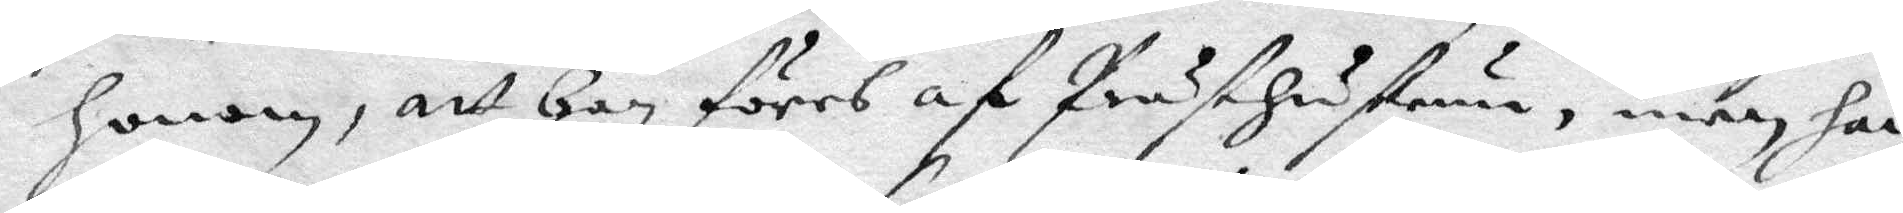honom, att Han föres af Prästhustrun, men han
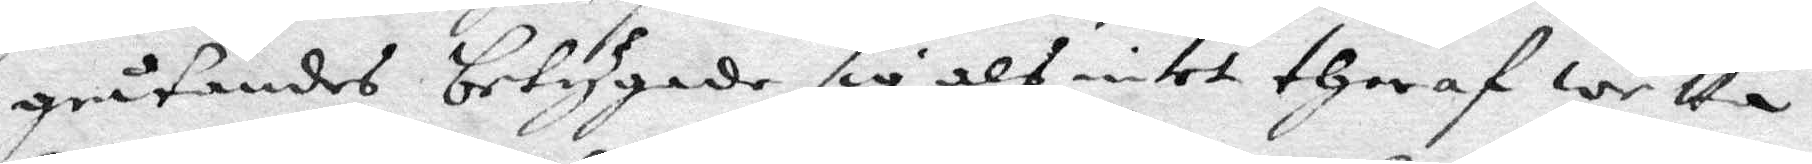gråtandes betygade sig alt intet theraf wetta.
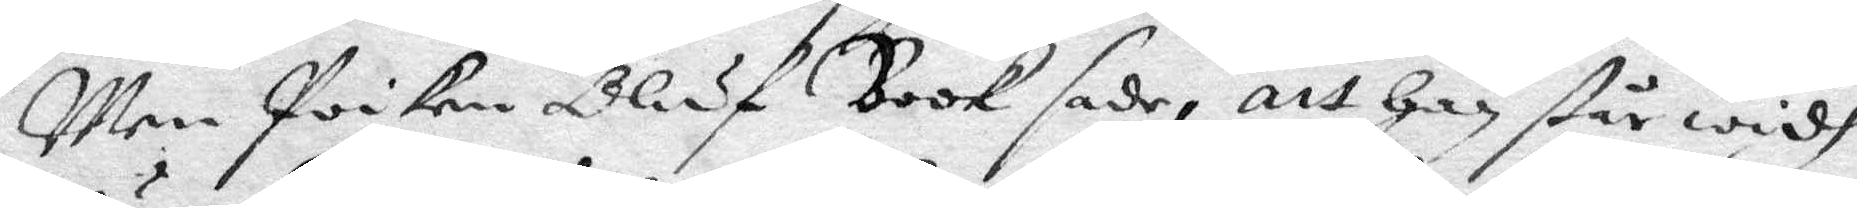Men poiken Oluf Book sade, att han står widh
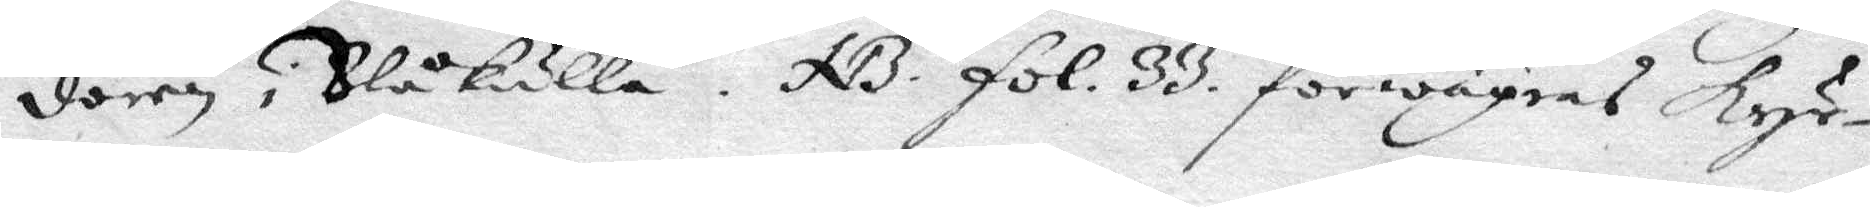dören i Blåkulla. NB. fol. 33 förwägras kyr¬
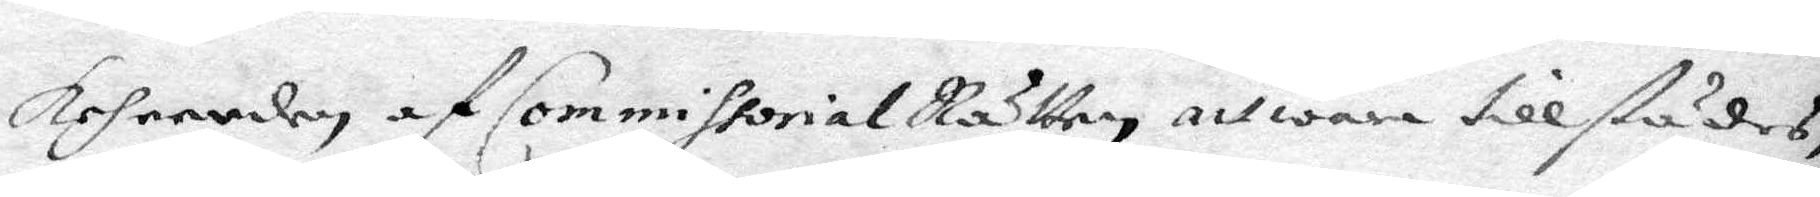keheerden af Commissorial Rätten att wara tillstädes,
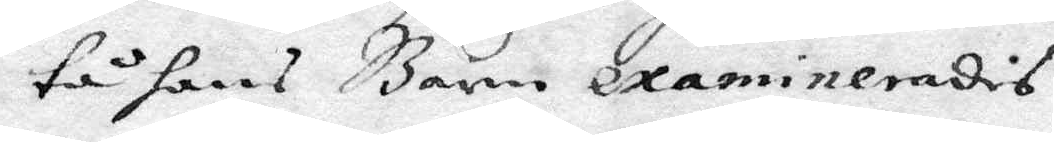tå hans Barn examinerades.
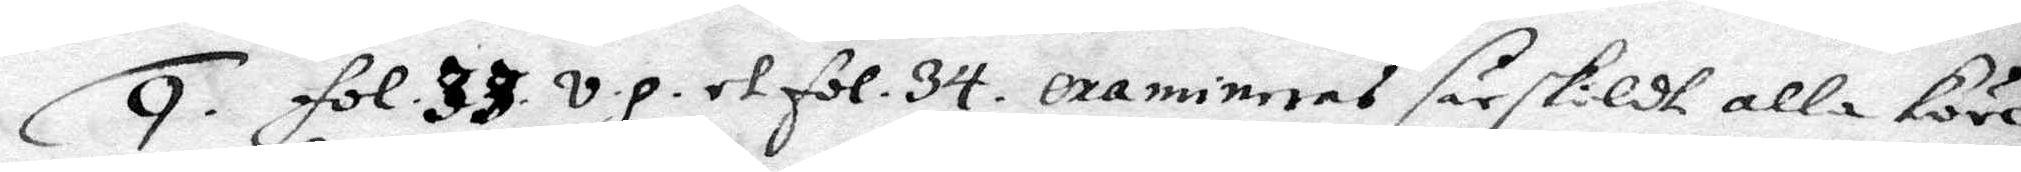9. fol. 33. v.p. et fol. 34. examnieras särskildt alla köre¬
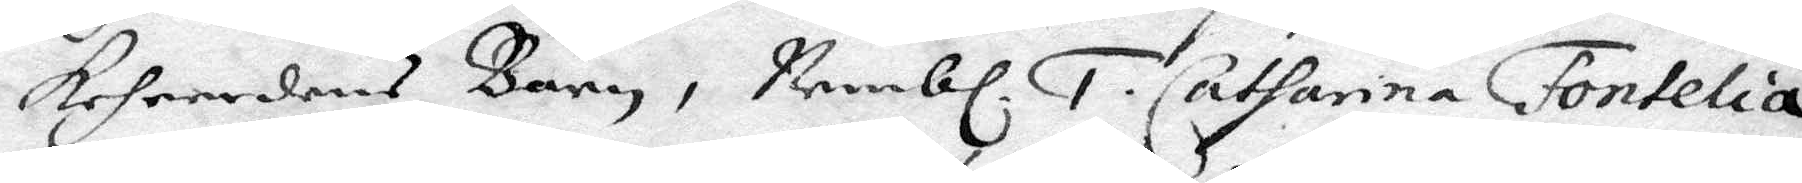keheerdebs barn, Nembl. 1. Catharina Fontelia
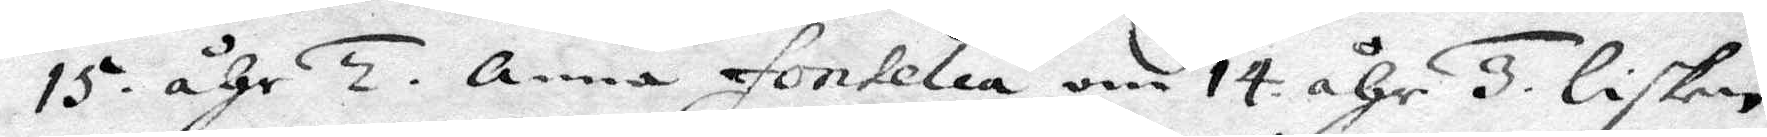15. åhr 2. Anna fontelia om 14 åhr 3. Lisken
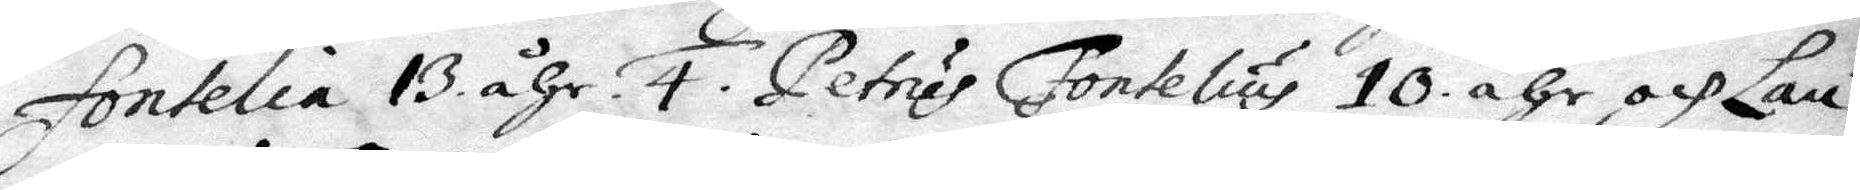fontelia 13 åhr. 4. Petrus Fontelius 10 åhr och Lau¬
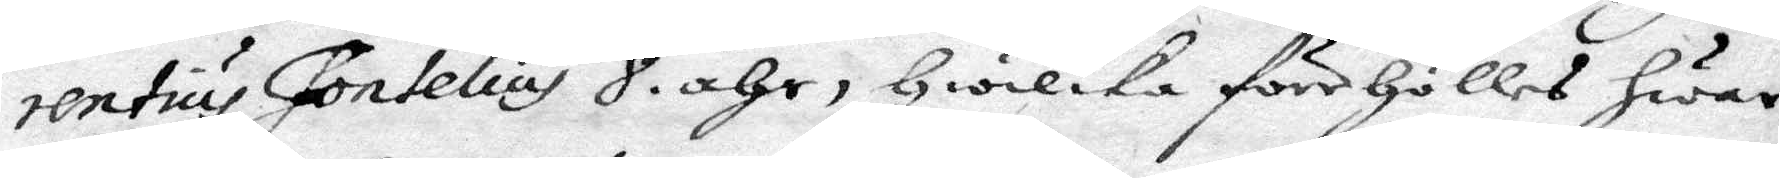rentius Fontelius 8. åhr, hwilka förehålles hwar
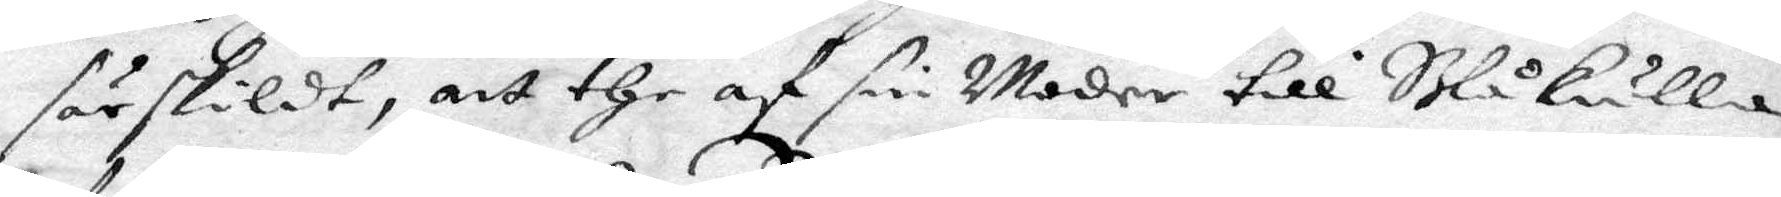särskildt, att the af sin Moder till Blåkulla
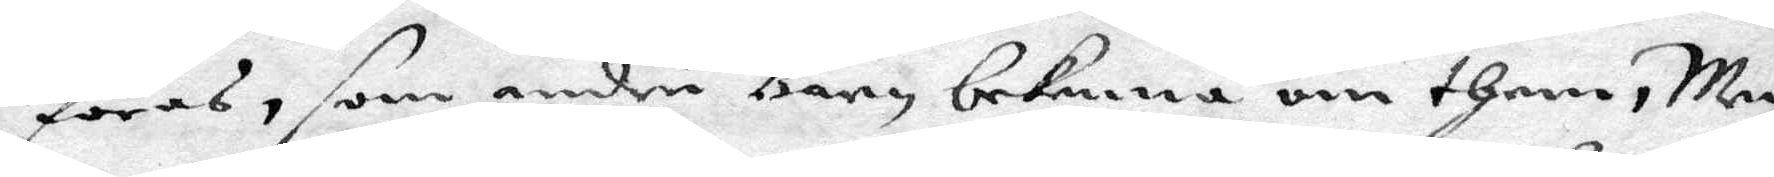föras, som andre barn bekenna om them, Men
